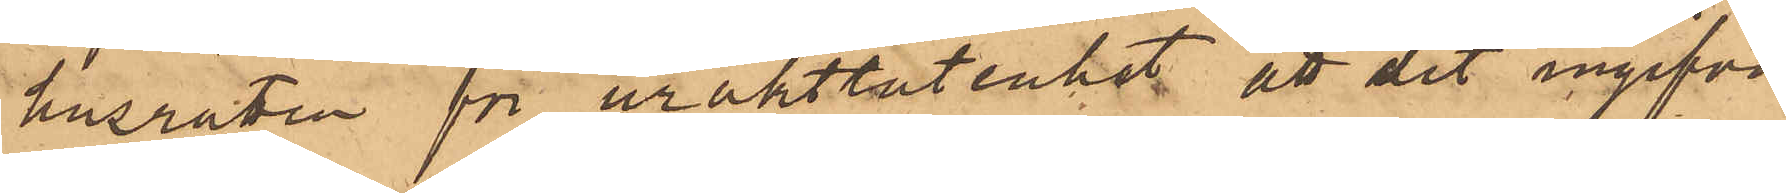husrätten för uraktlåtenhet, att dit ingifva
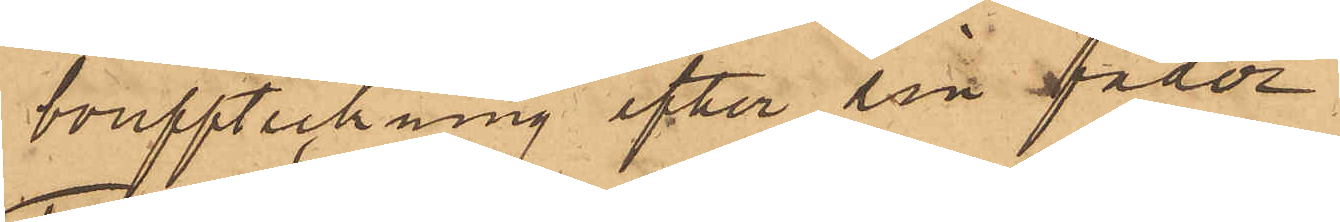bouppteckning efter sin fader.
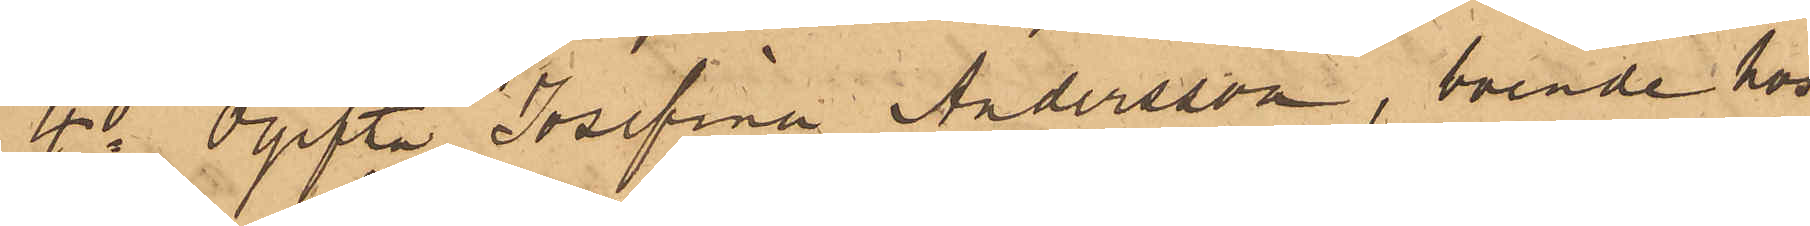4o Ogifta Josefina Andersson, boende hos
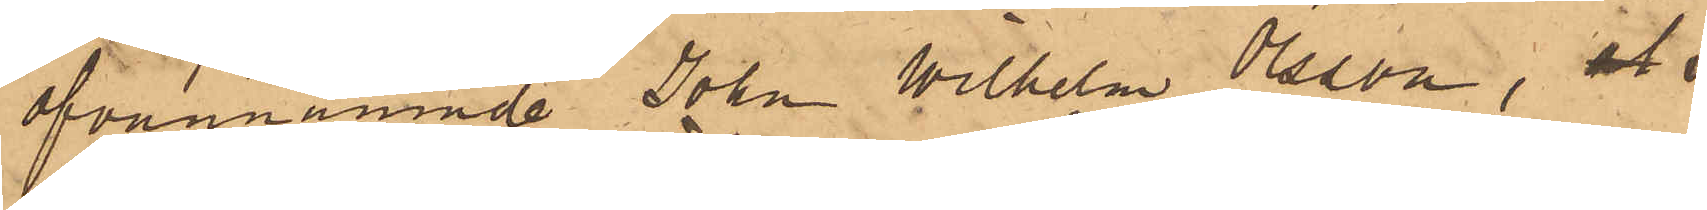ofvannämnde John Wilhelm Olsson, att
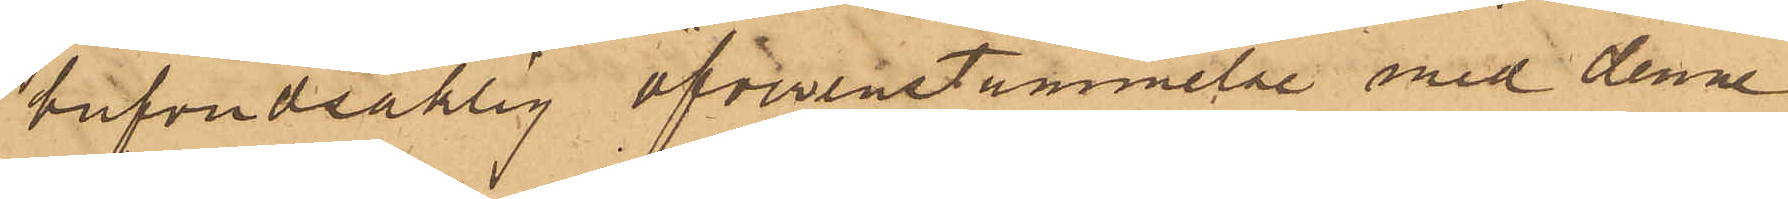hufvudsaklig öfverenstämmelse med denne
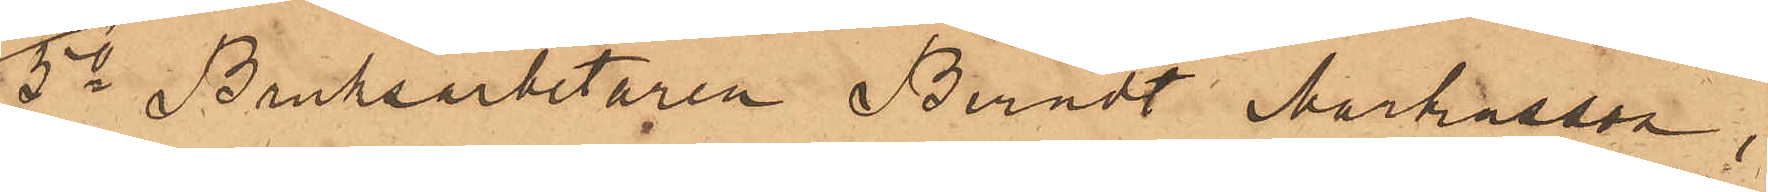5o Bruksarbetaren Berndt Markusson,
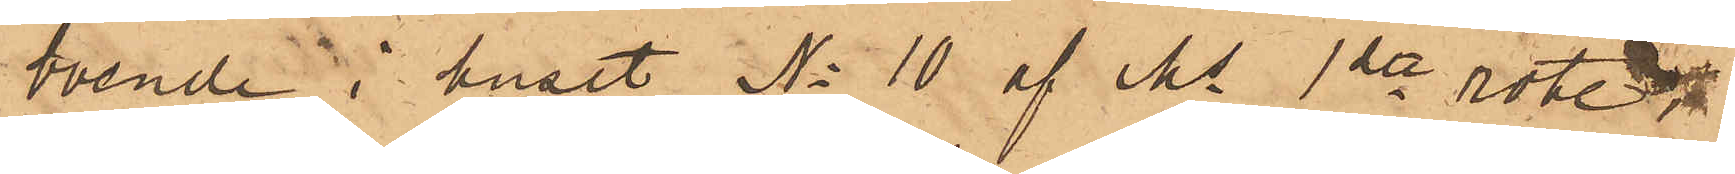boende i huset No 10 af Ms 1ste rote,
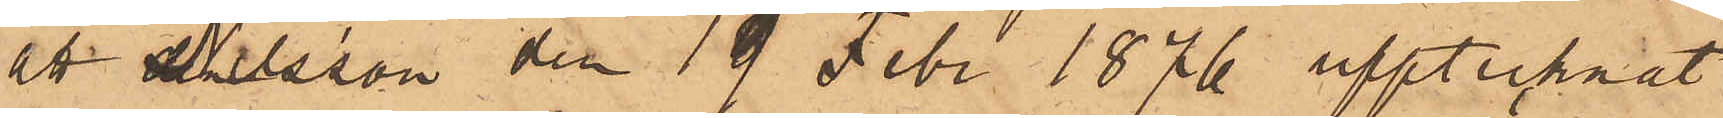att Nilsson den 19 Febr 1876 upptecknat
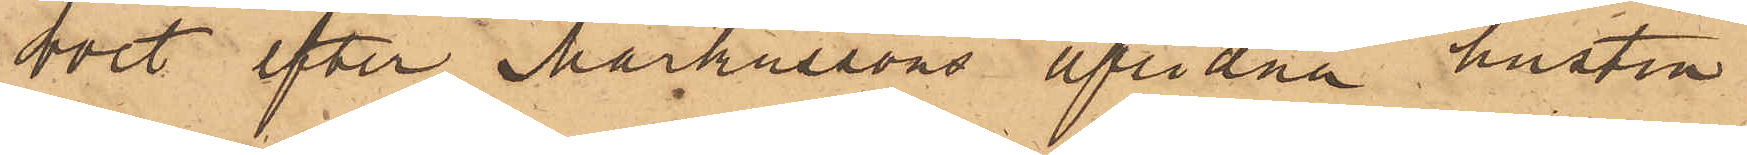boet efter Markussons aflidna hustru
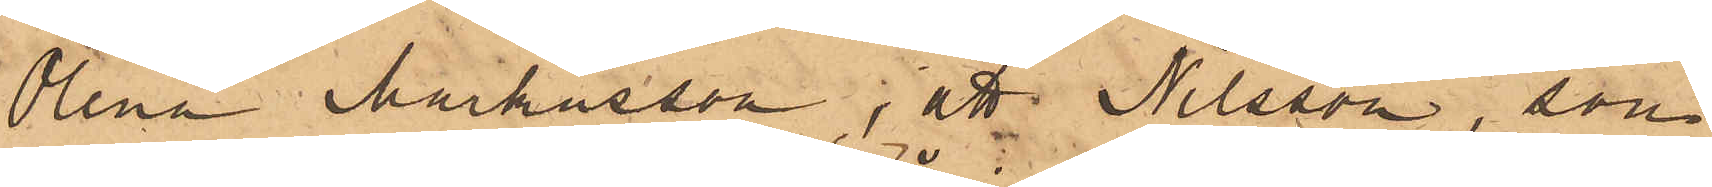Olena Markusson; att Nilsson, som
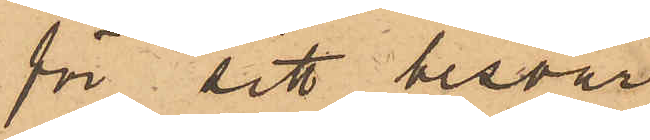för sitt besvär
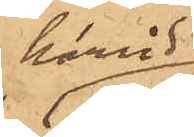härwid
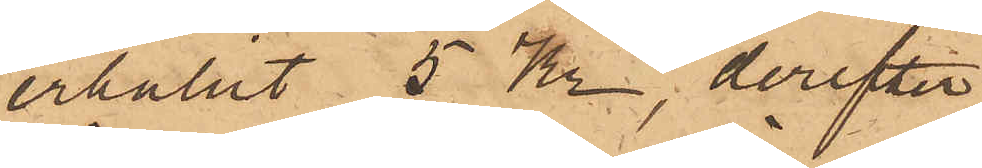erhållit 5 Kr, derefter
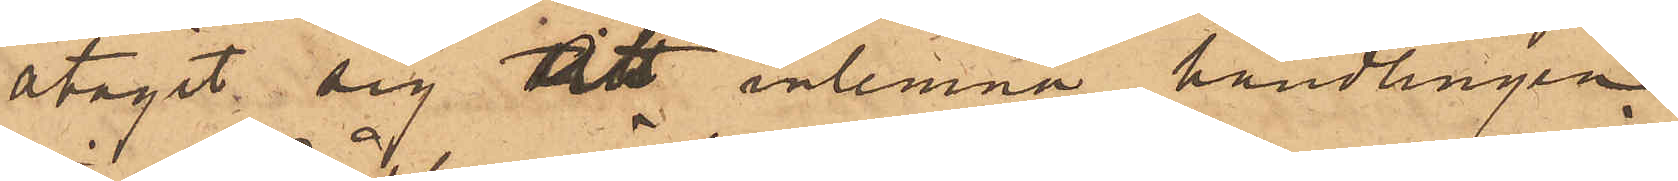åtagit sig att inlemna handlingen
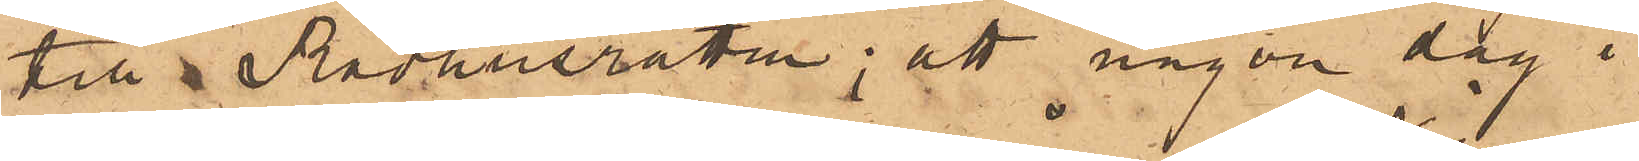till Rådhusrätten; att någon dag i
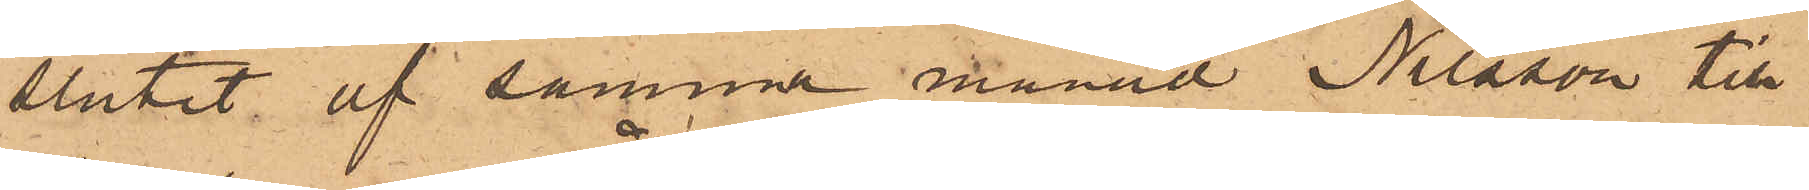slutet af samma månad Nilsson till
